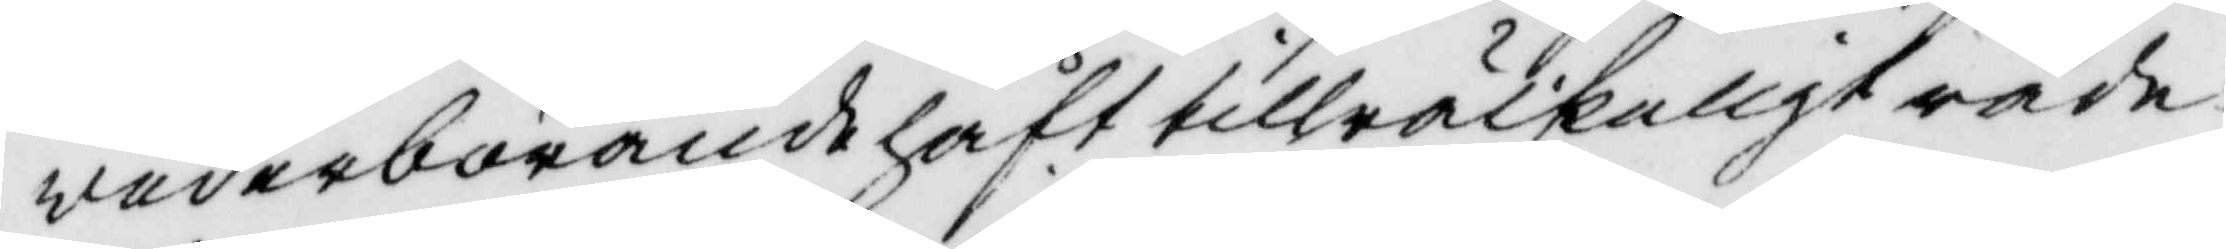wederbörande haft tillräckeligt råde¬
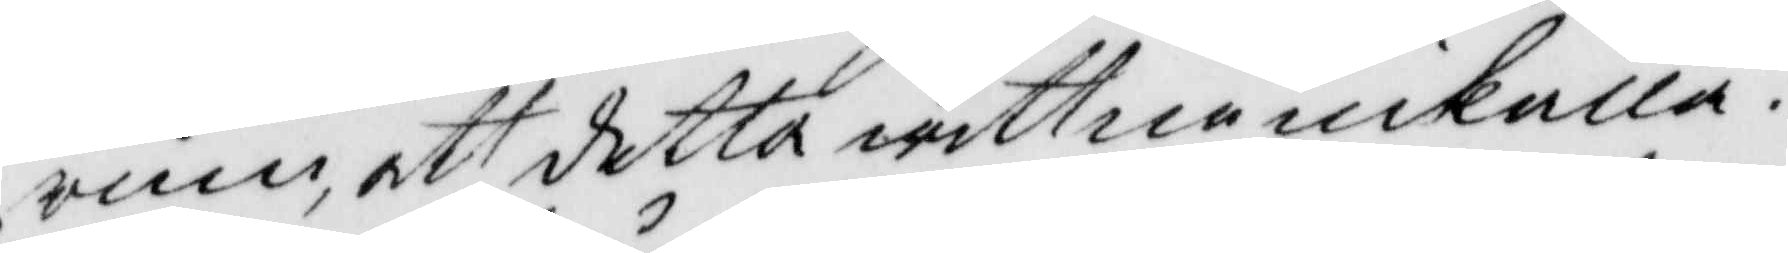rum, att detta wittne inkalla.
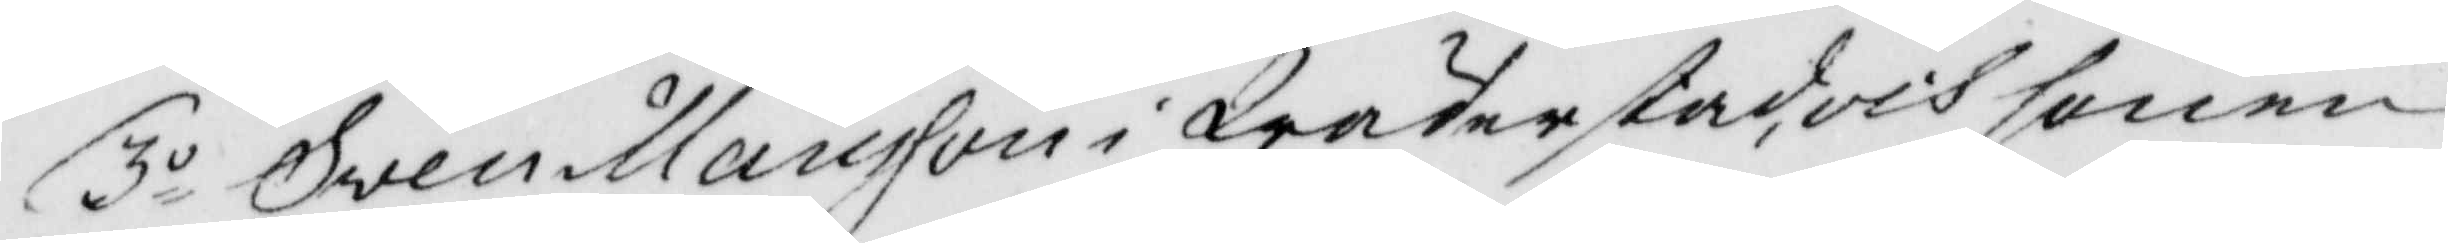3o Sven Månsson i Wäderstad, och sonen
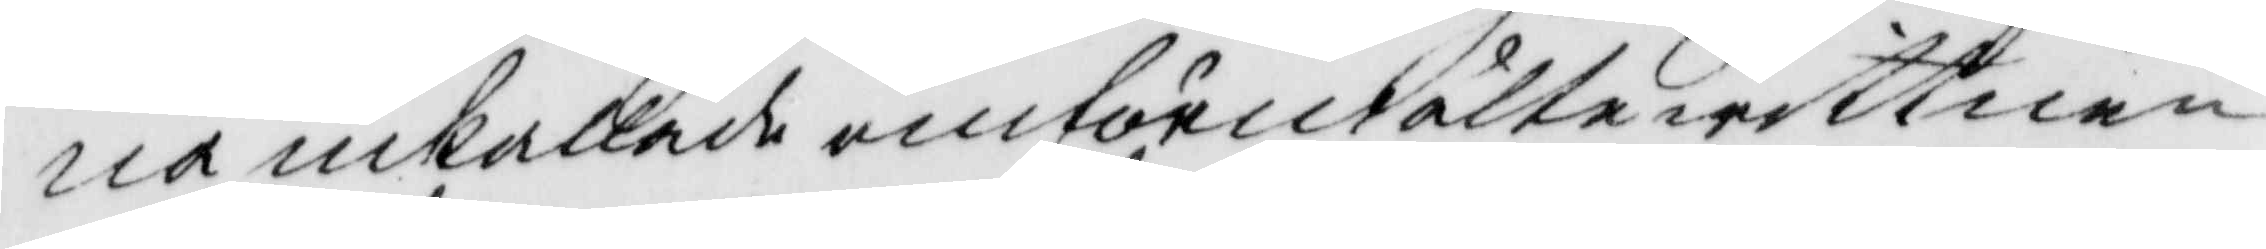na inkallade omförutälte wittnen
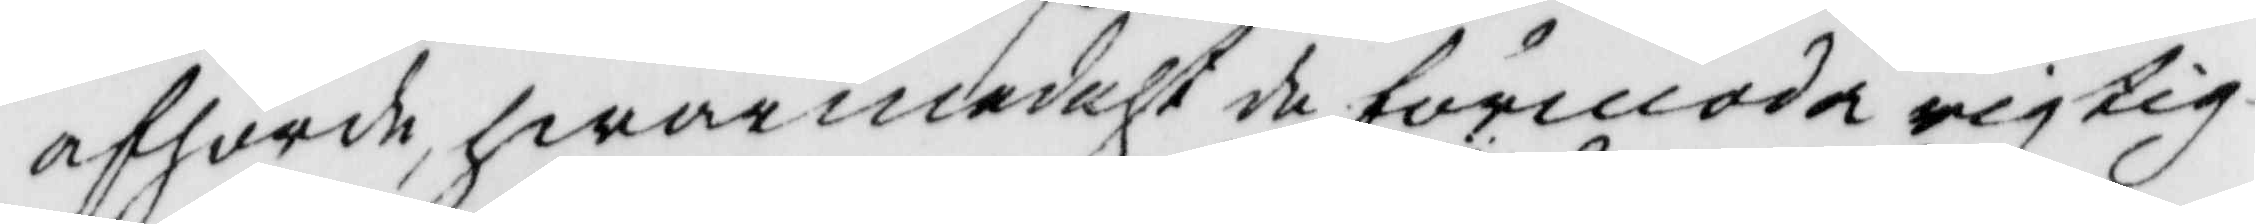afhörde, hwarmedelst de förmoda rigtig¬
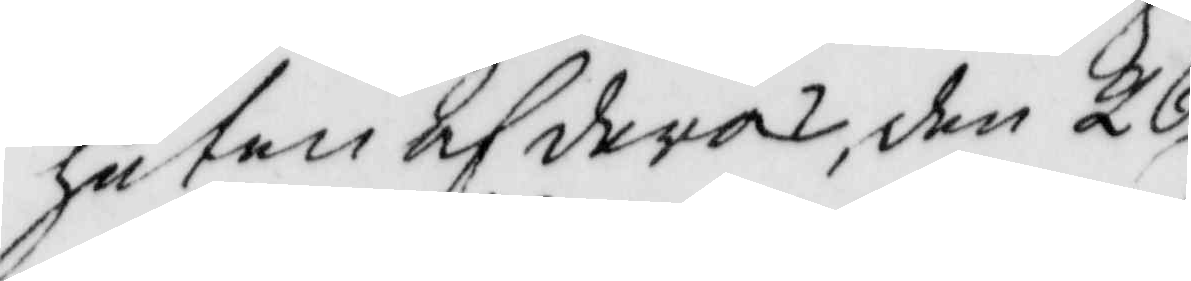heten af deras, den 26
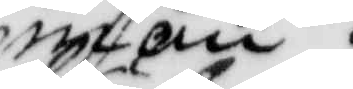maii
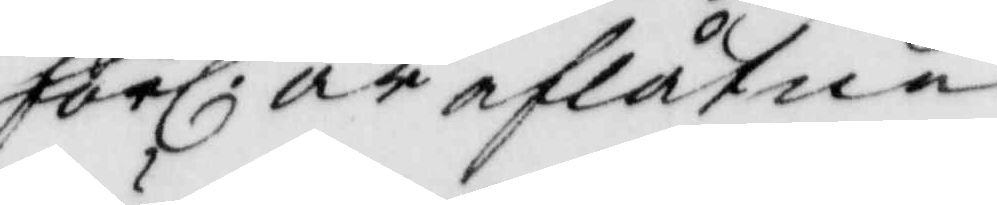förl. år efterlåtne
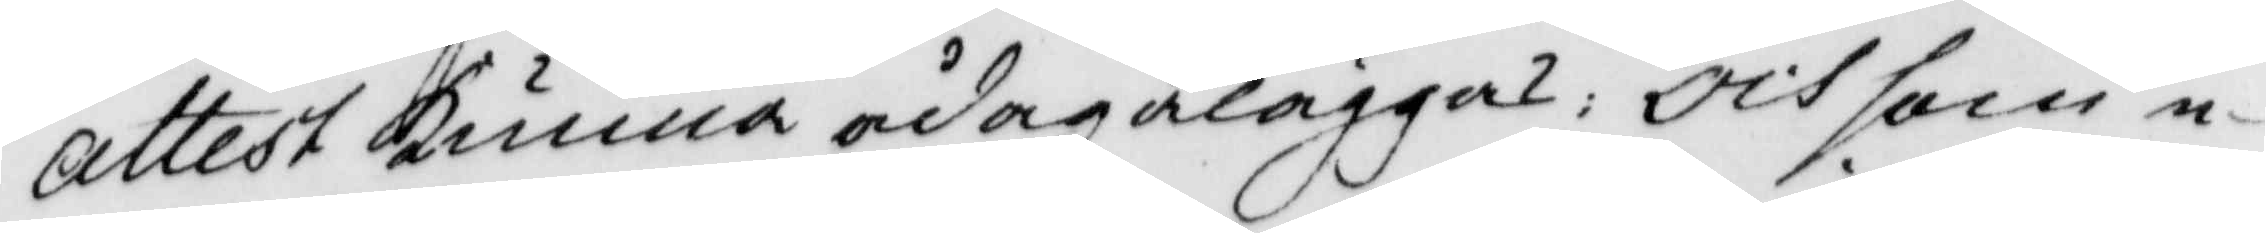Attest kunna ådagläggas: och som e¬
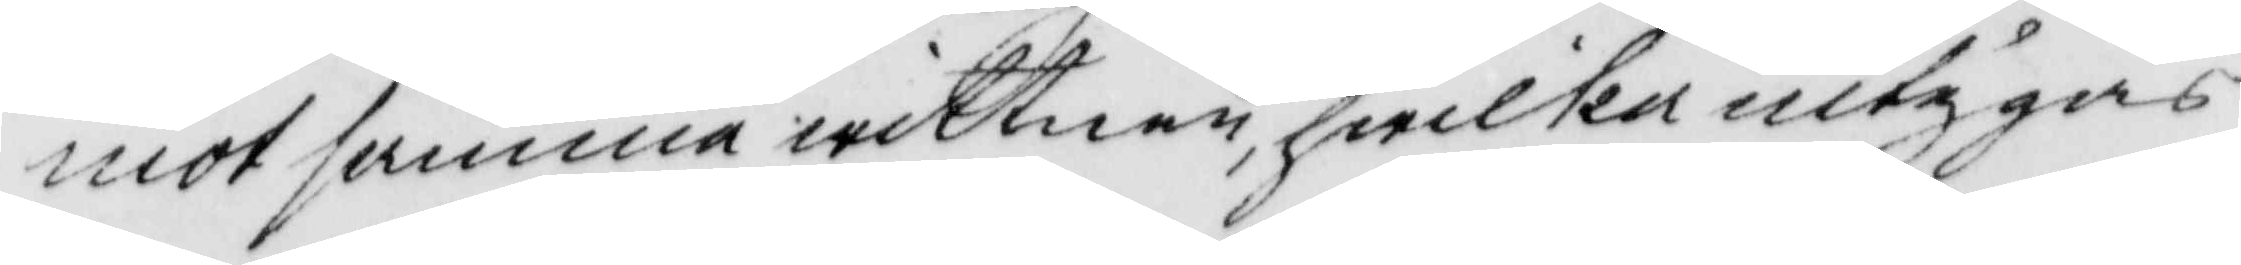mot samma wittnen, hwilka intygas
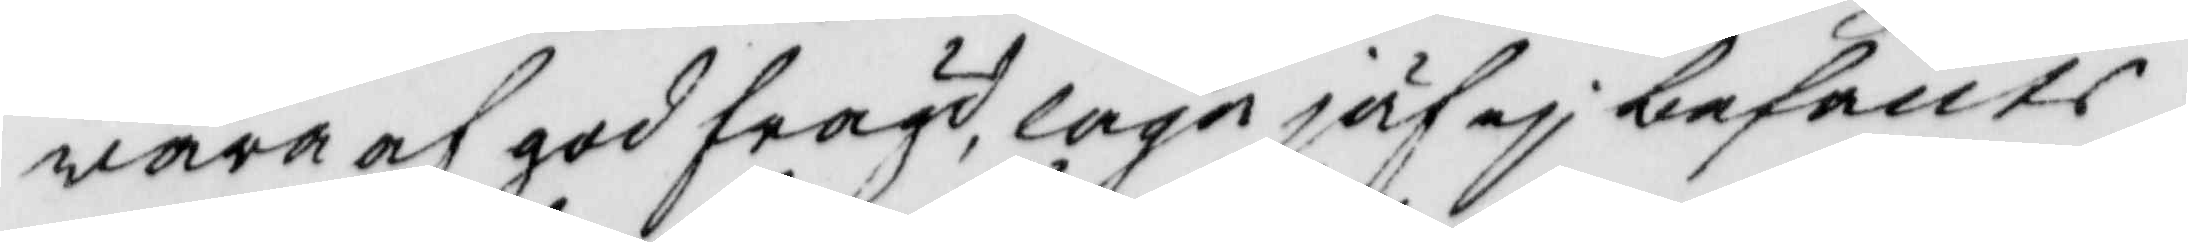wara af god frägd, laga jäf ej befants,
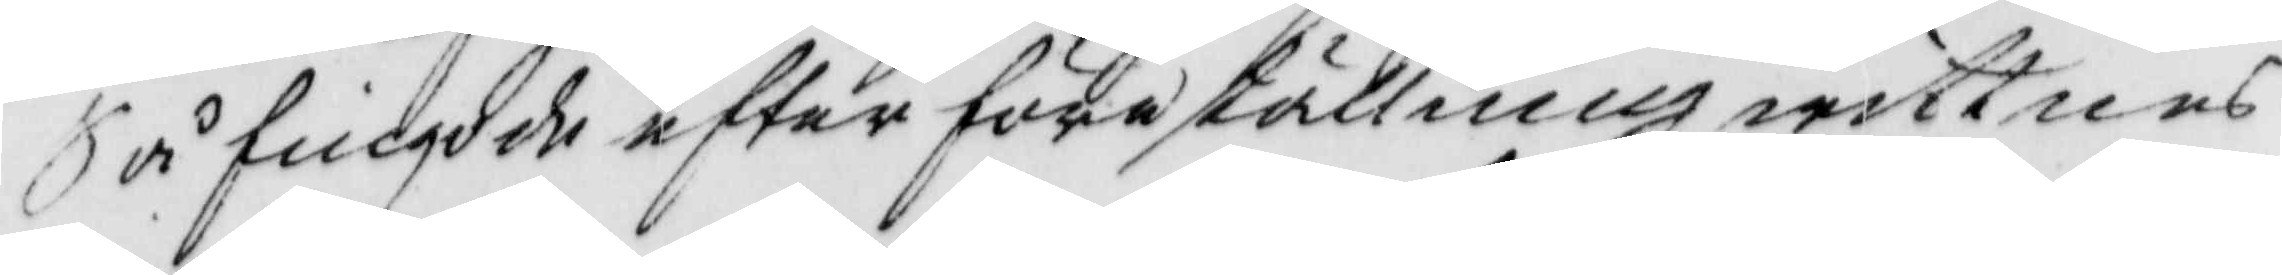Så fingo de efter föreställning wittnes¬
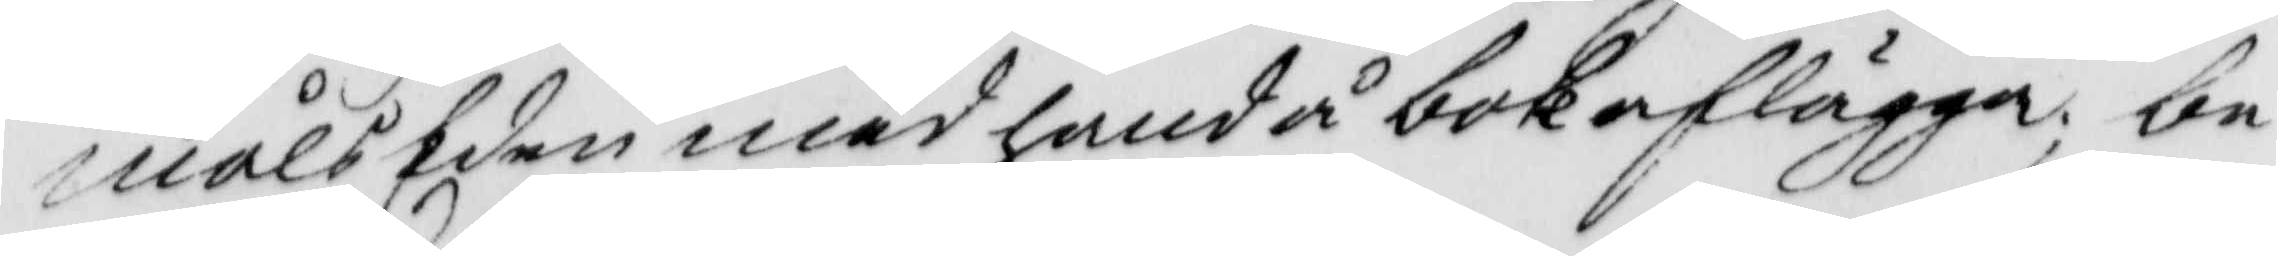målsEden med hand å bok aflägga; be—
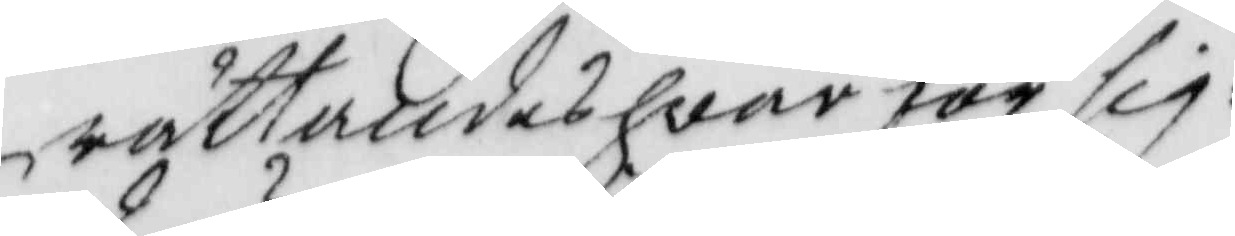rättandes hvar för sig.
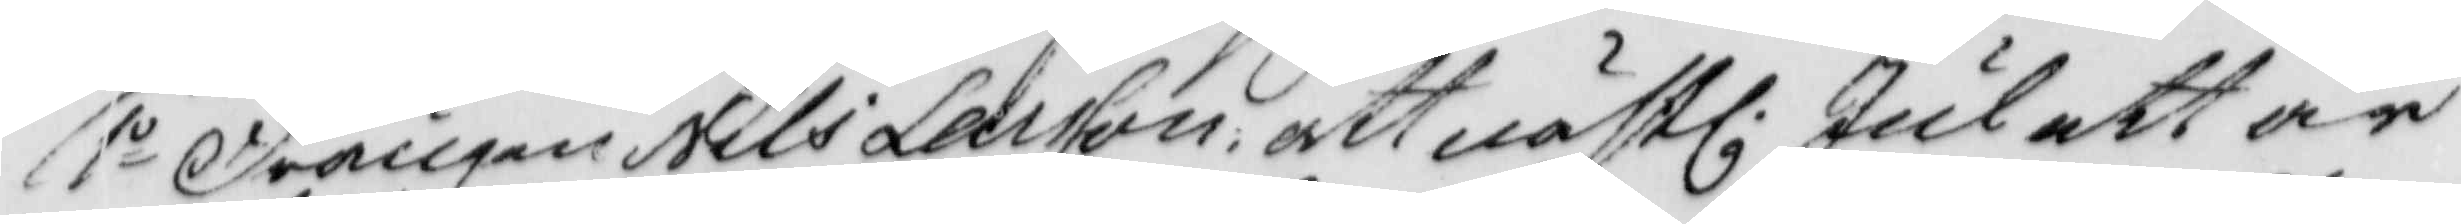1o Drängen Nils Larsson: att nästl. Jul ett år
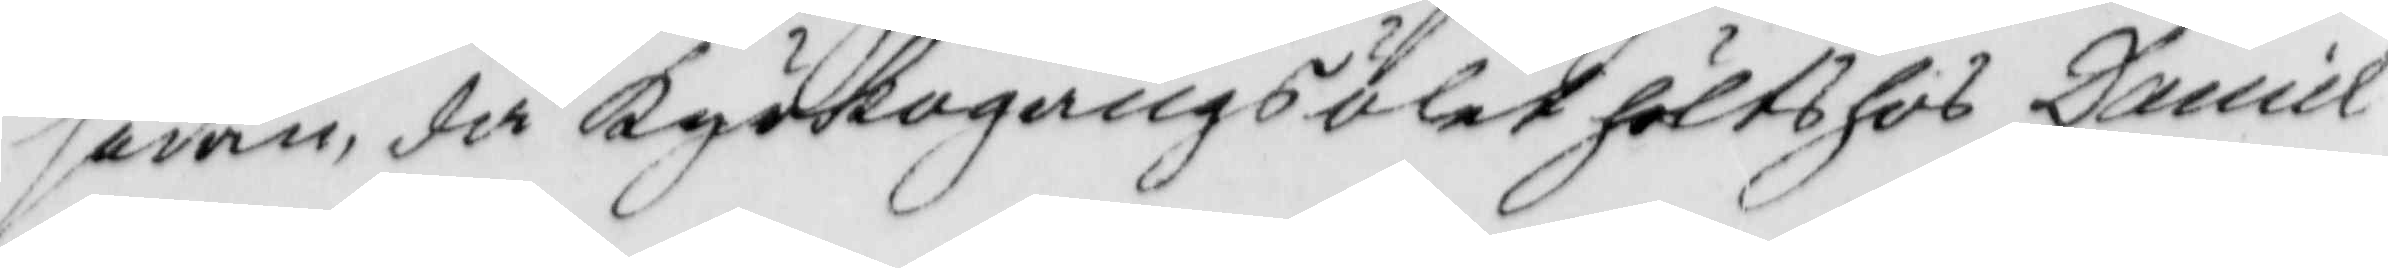sedan, då Kyrkogångsölet hölts hos Daniel
